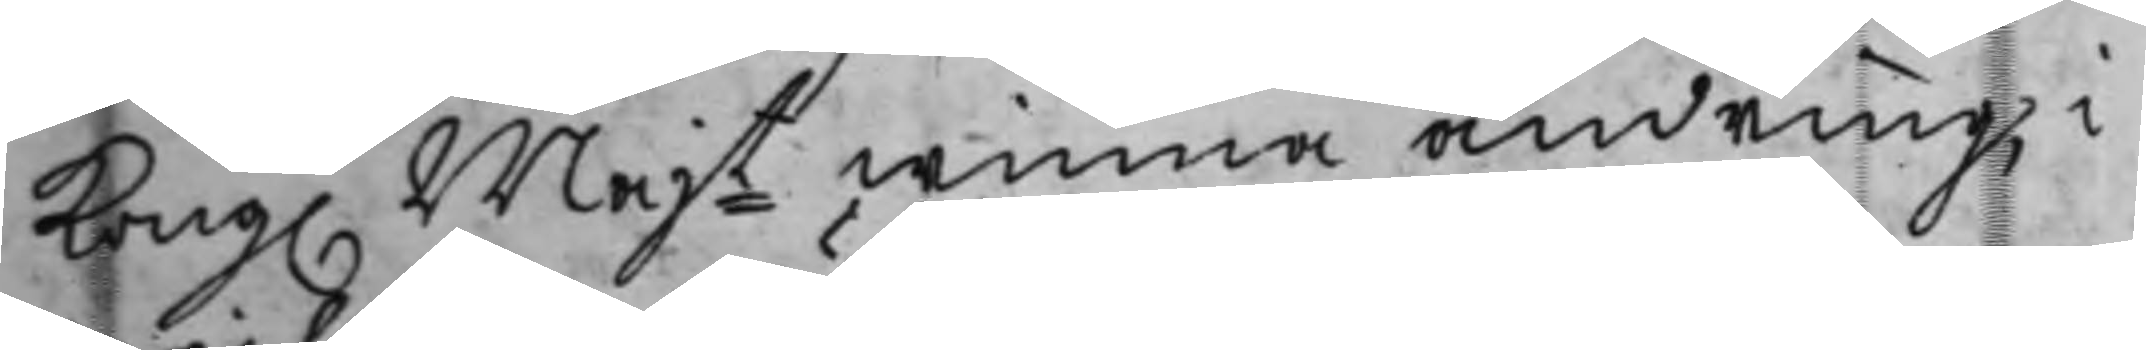Kong. Majt winna ändring, i
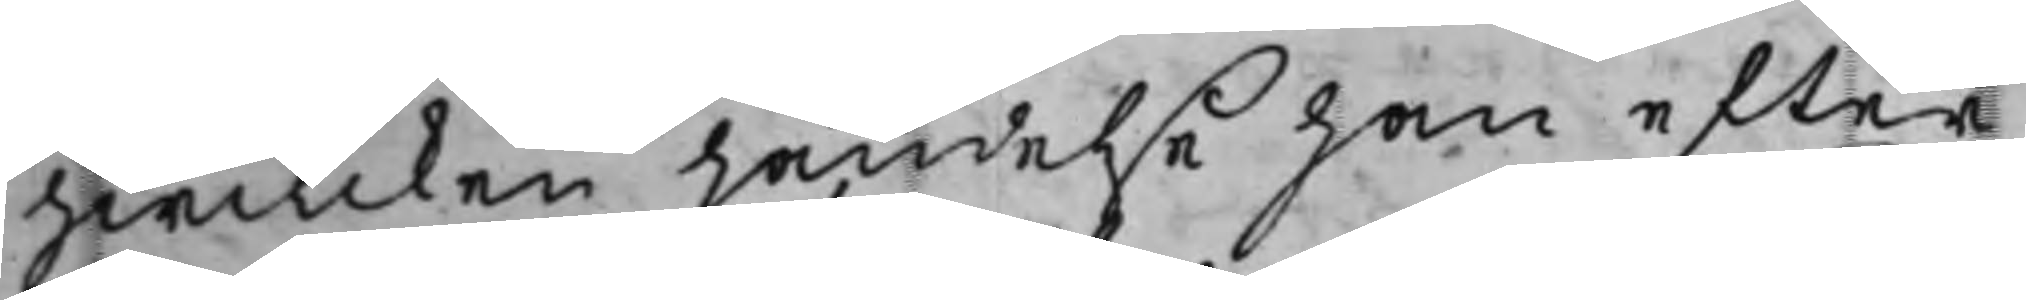hwilcken händelse han efter
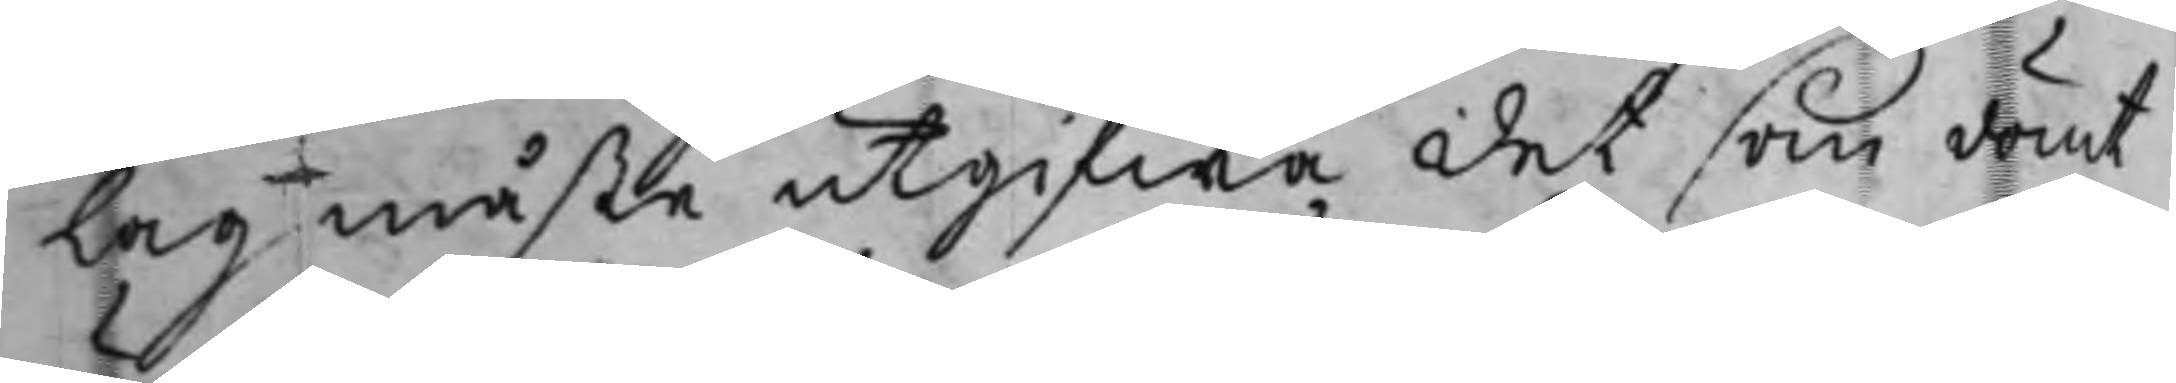Lag måste utgifwa det som dömt
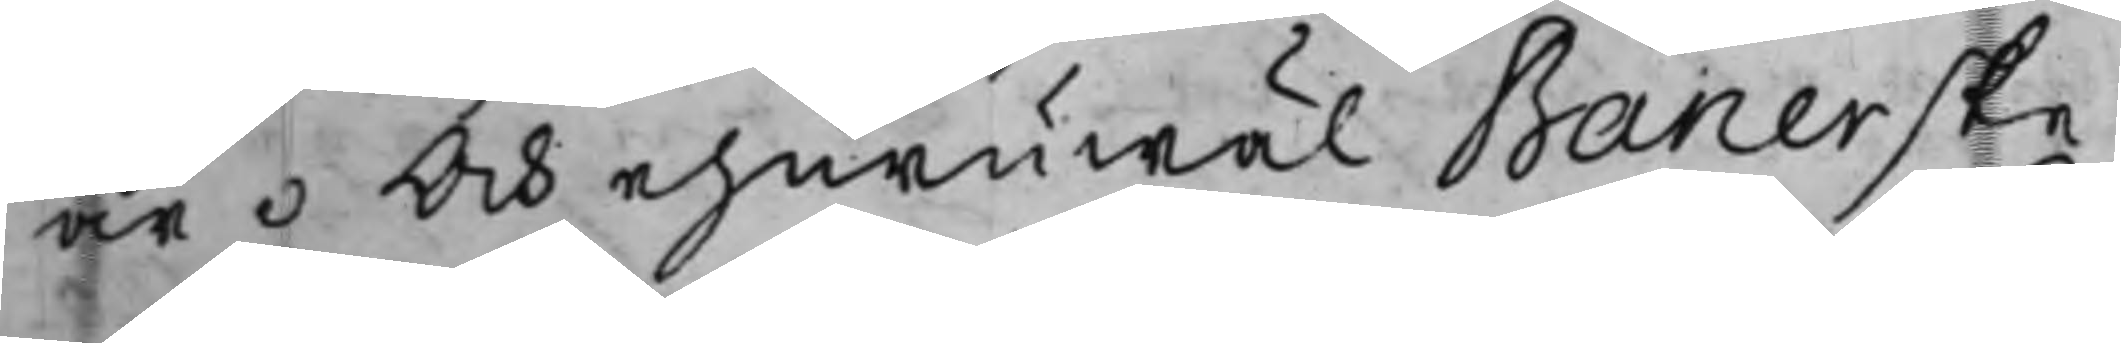är. Och ehuruwäl Banerske
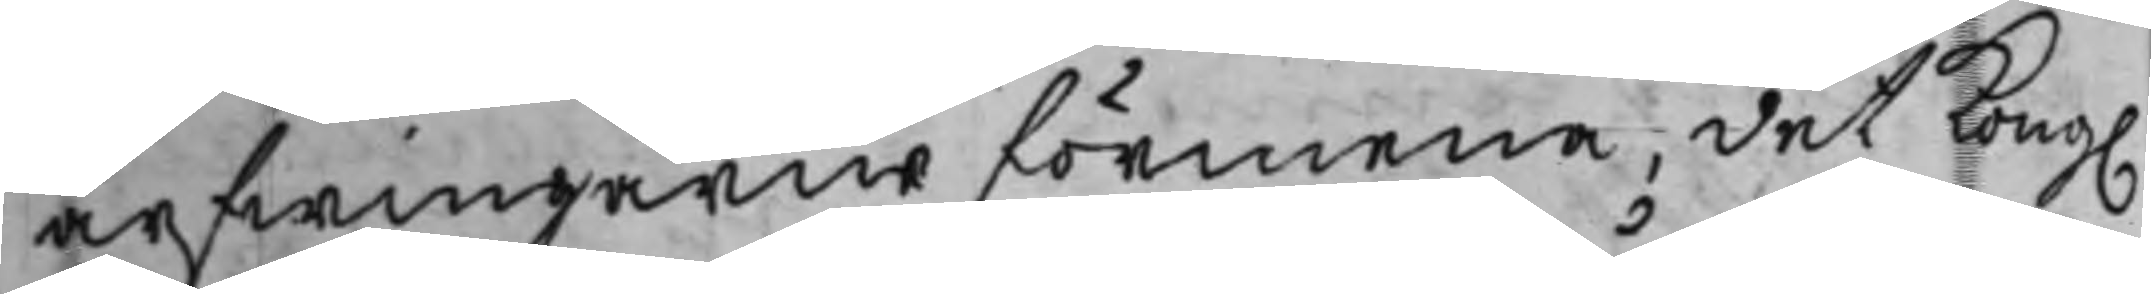arfwingarne förmena, det Kong.
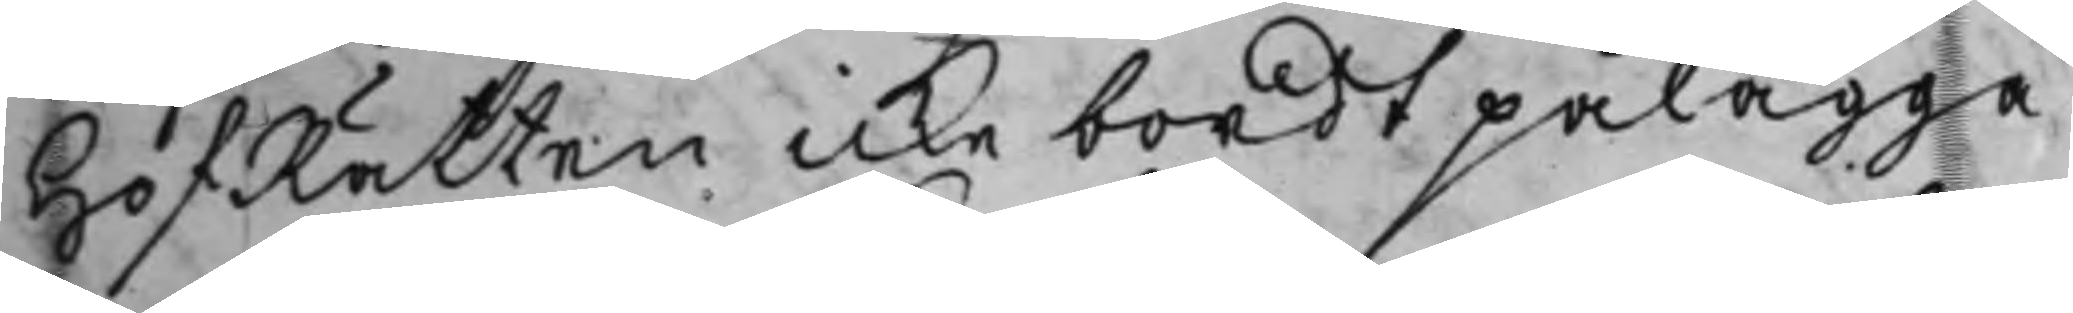HofRätten icke bordt pålägga
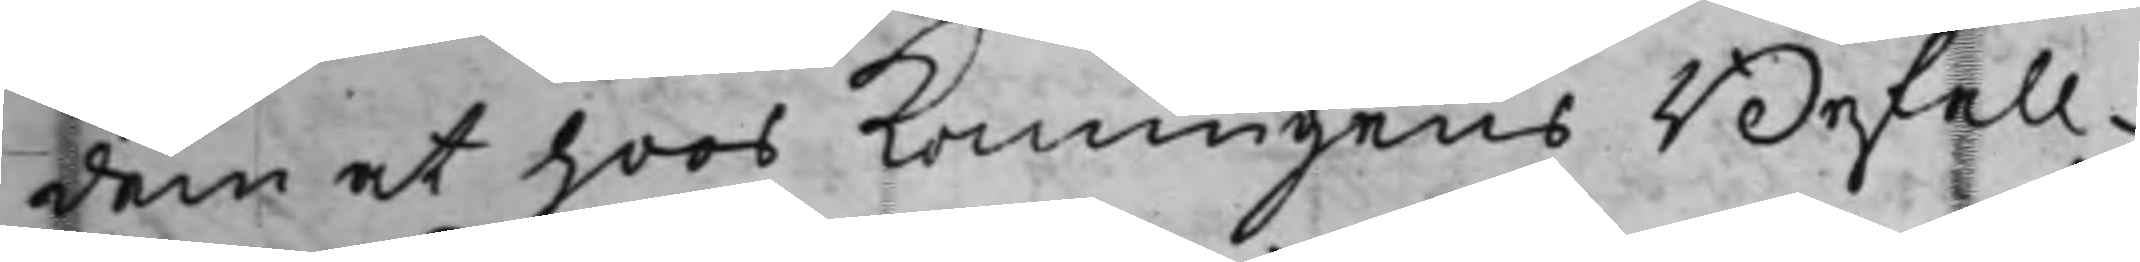dem at hoos Konungens Befall¬
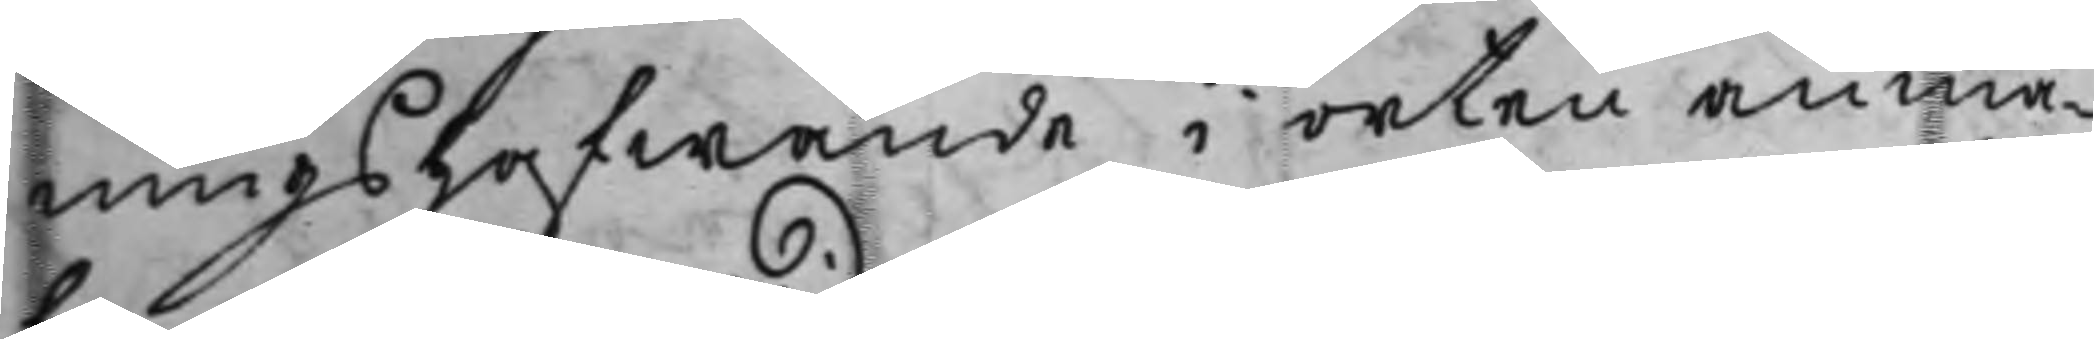ningshafwande i orten anmä¬
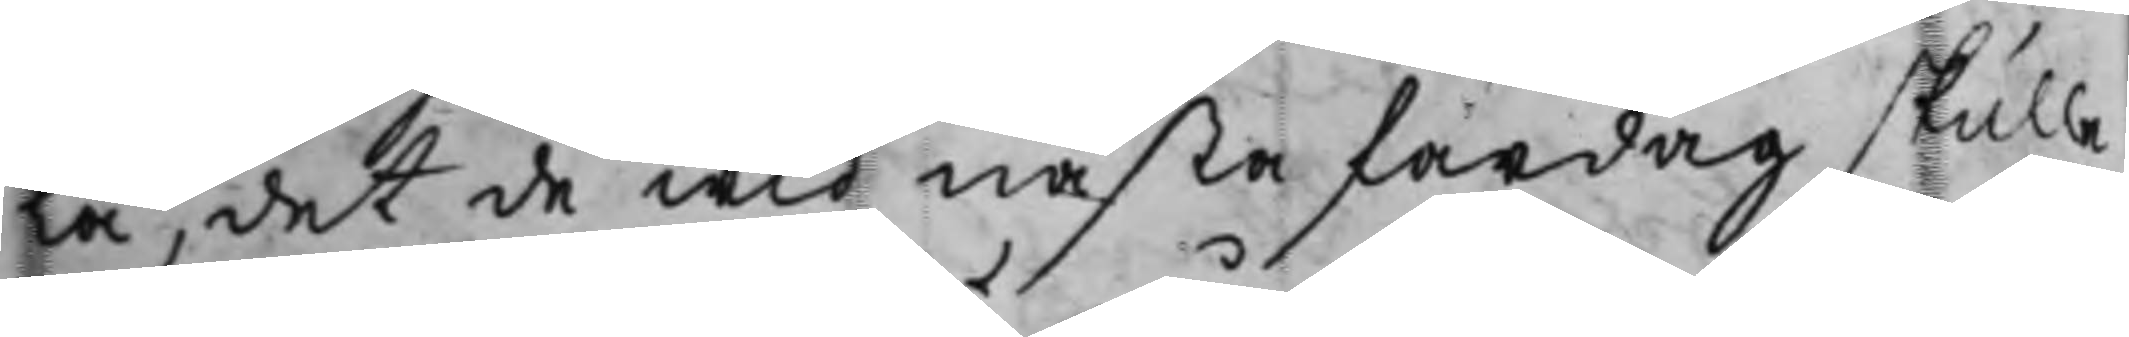la, det de wid nästa fardag skulle
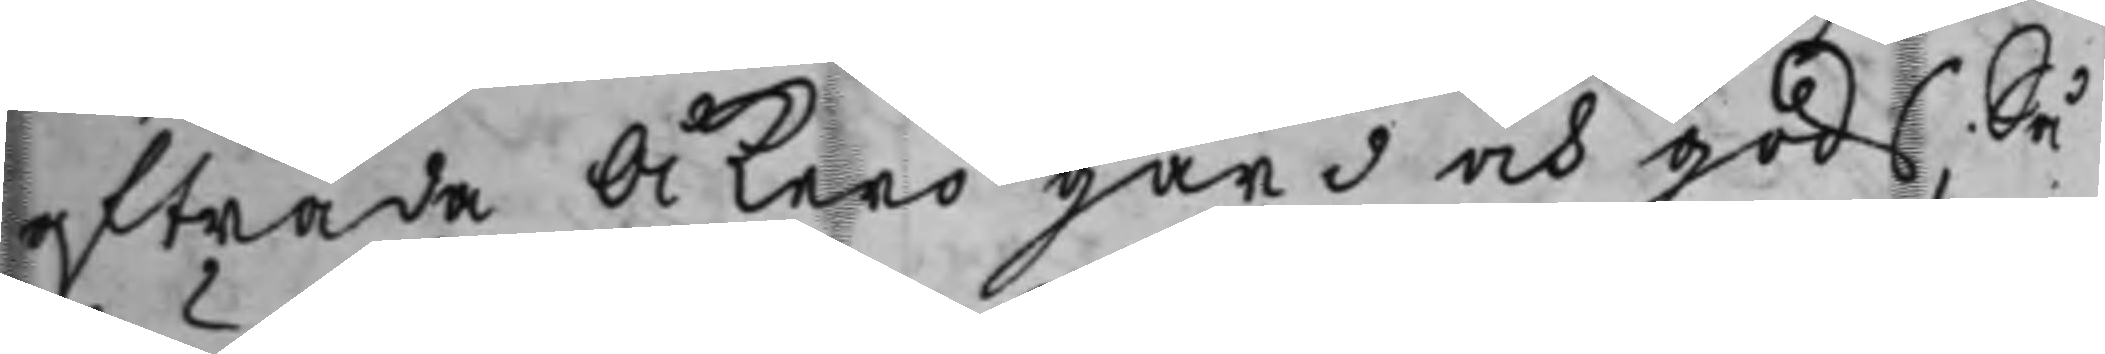afträda Åkerö gård och gods; Så
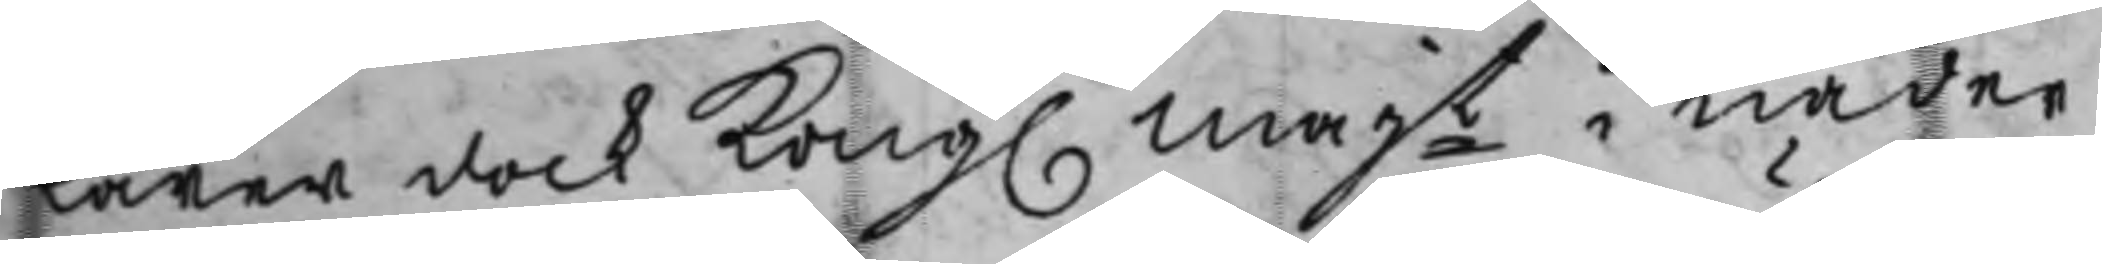lärer dock Kong. Majt i nåder
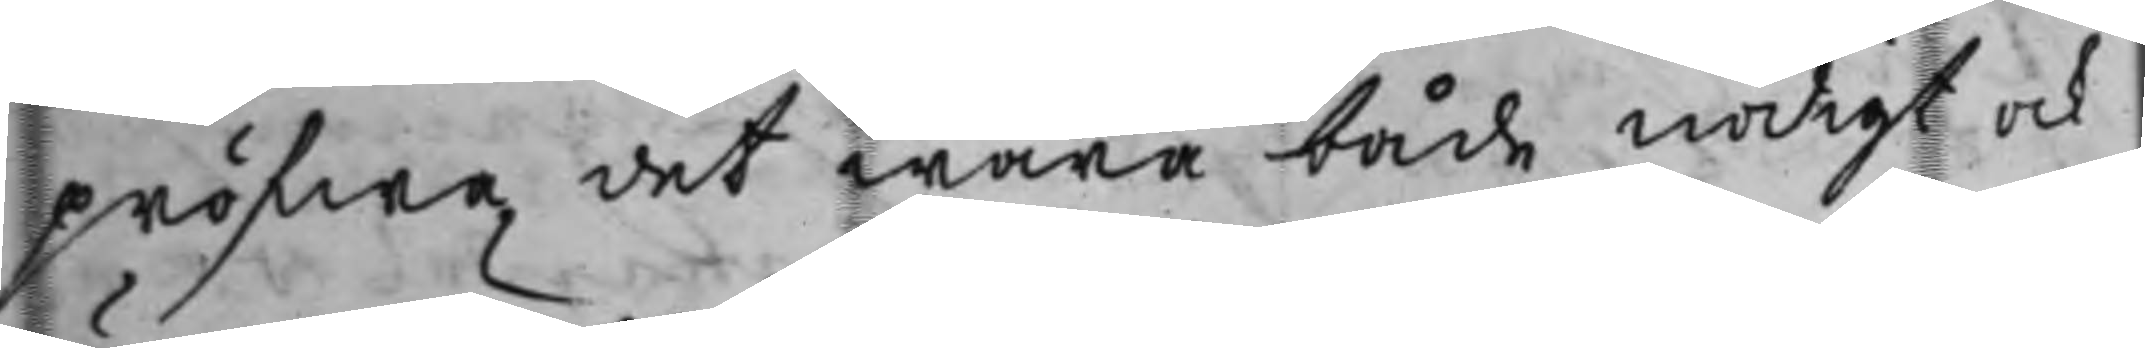pröfwa, det wara både nödigt ock
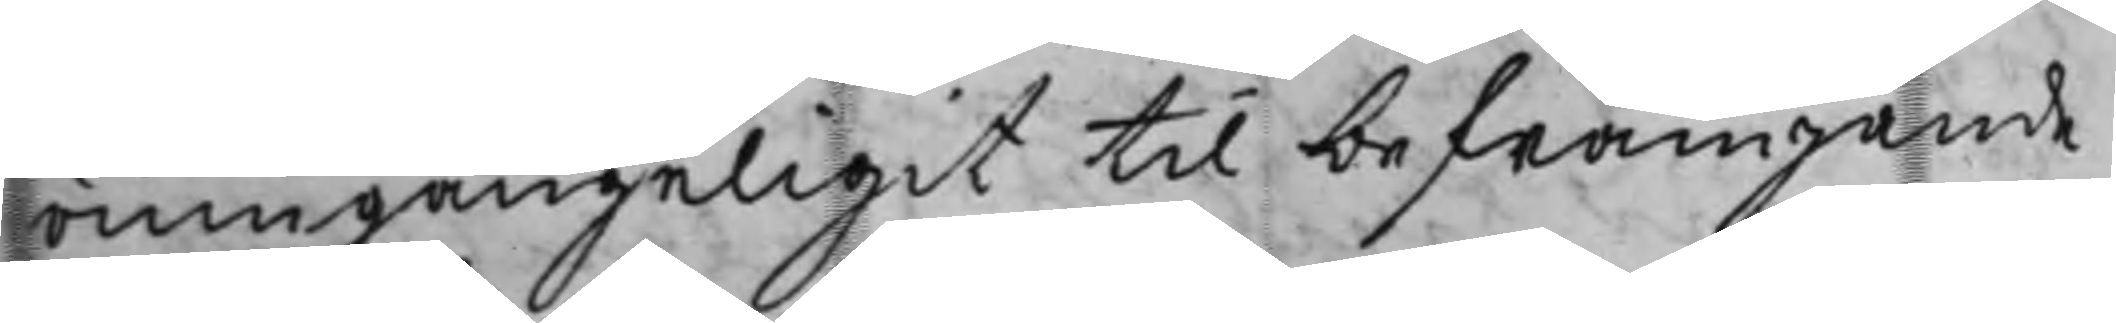oumgängeligit til befrämjande
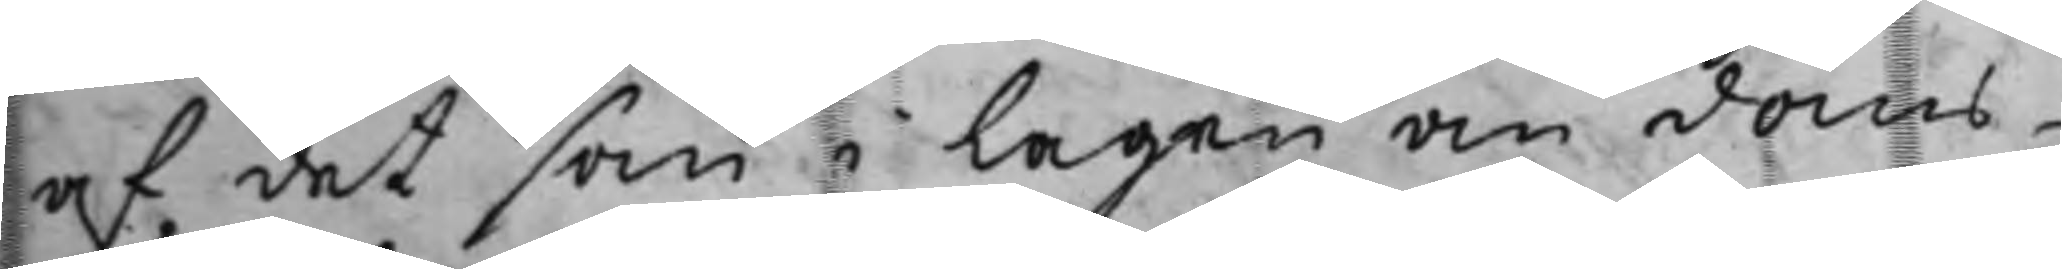af det som i Lagen om doms¬
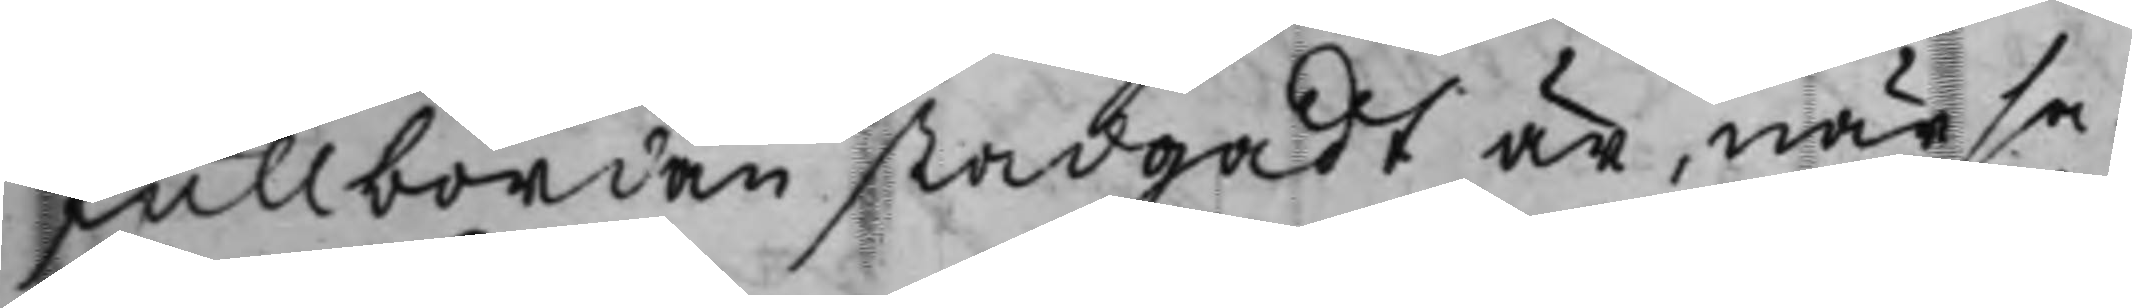fullbordan stadgadt är, när sa¬
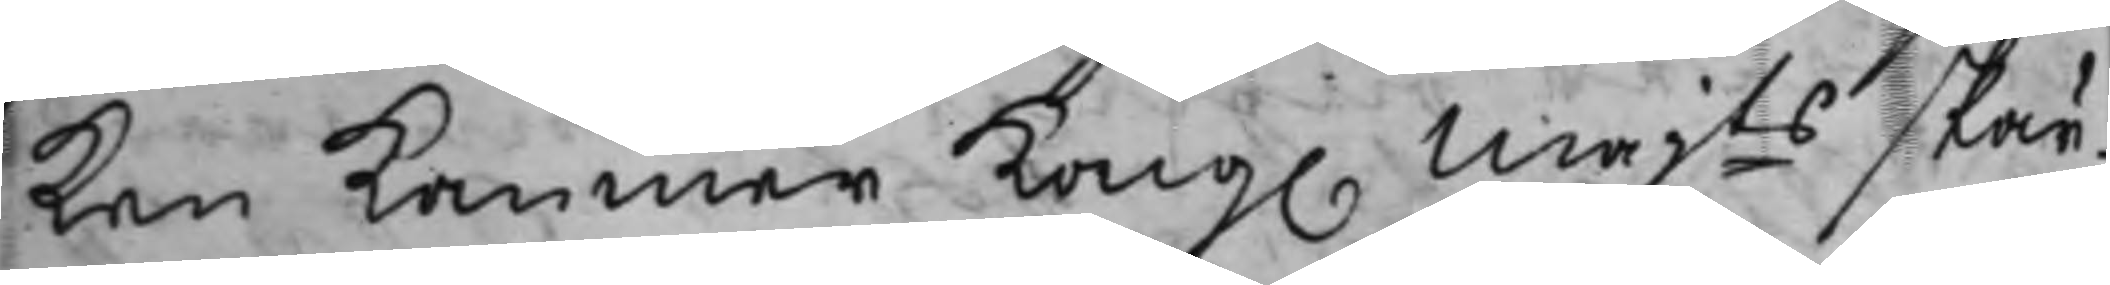ken kommer Kong. Majts skär¬
